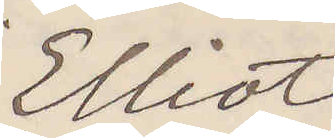Elliot
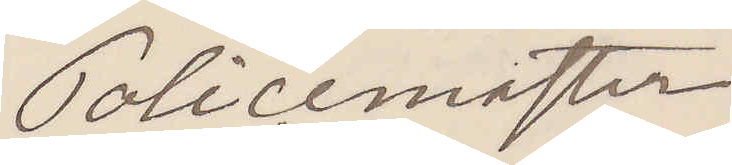Policemaster
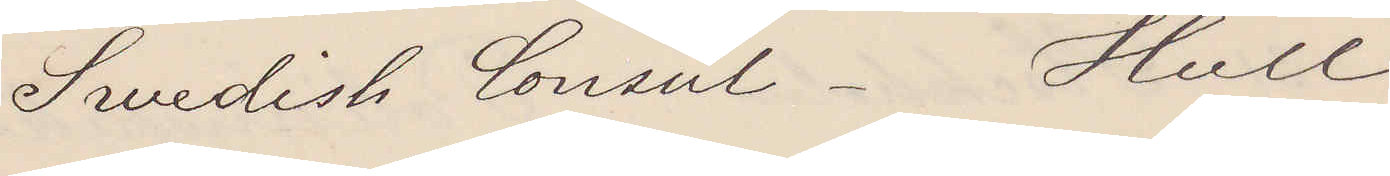Swedish Consul. Hull
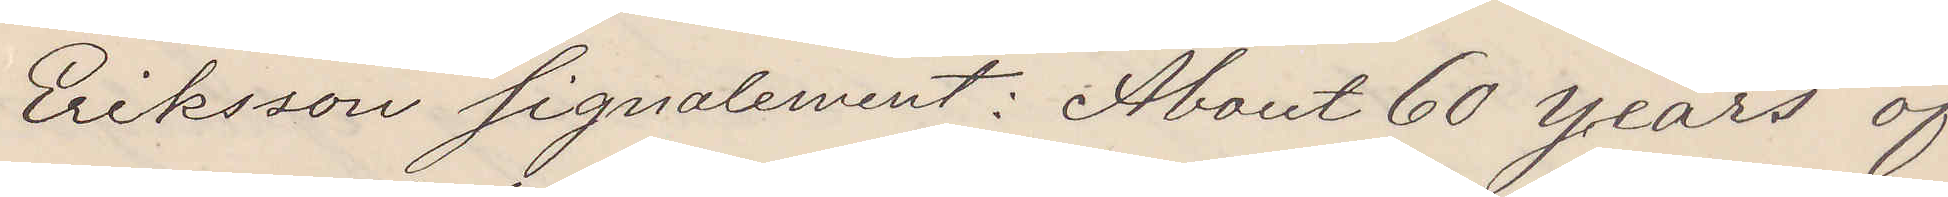Eriksson signalement: About 60 years of
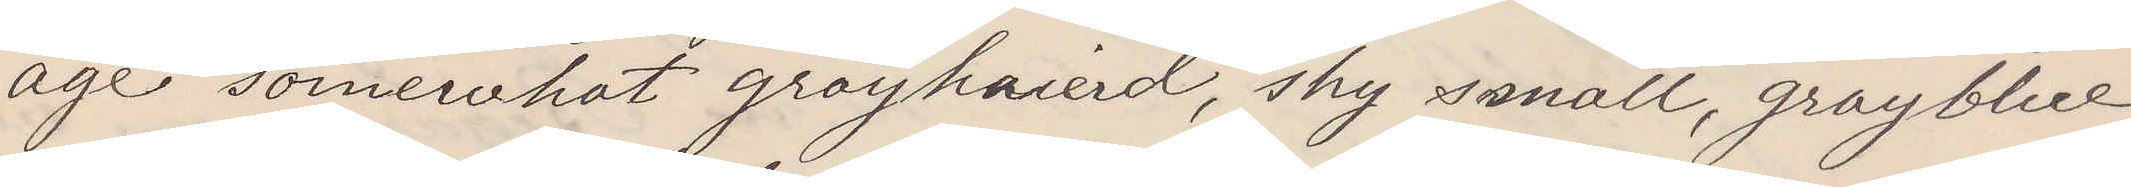age somewhat grayhaierd, shy small, grayblue
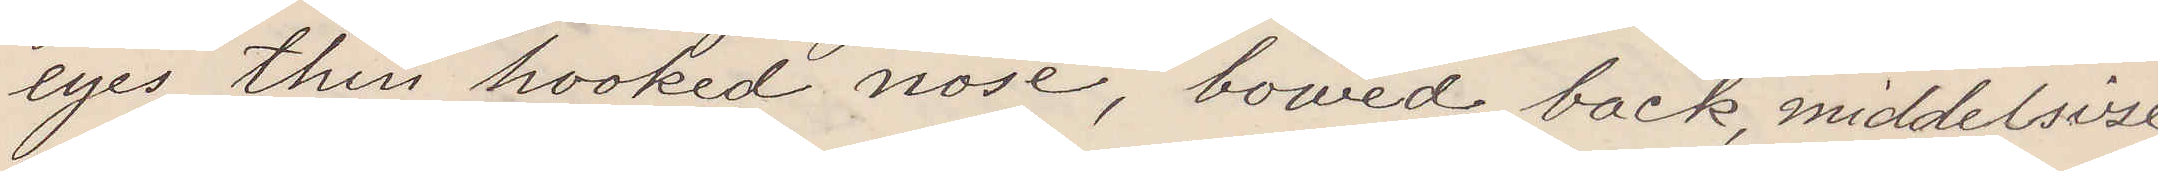eyes, thin hooked nose, bowed back, middlesize,
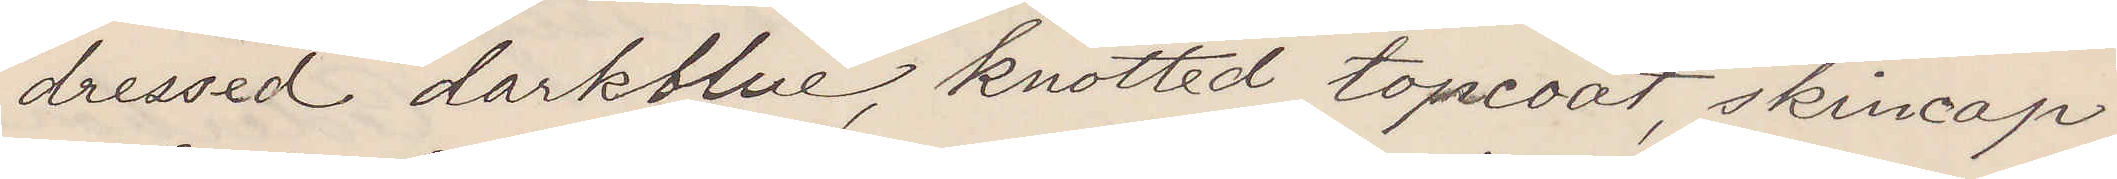dressed darkblue, knotted topcoat, skincap.
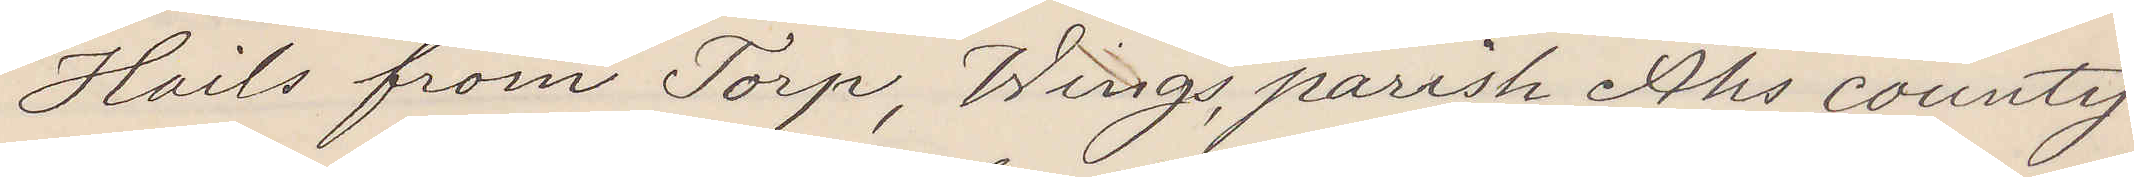Hails from Torp, Wings parish, Åhs county.
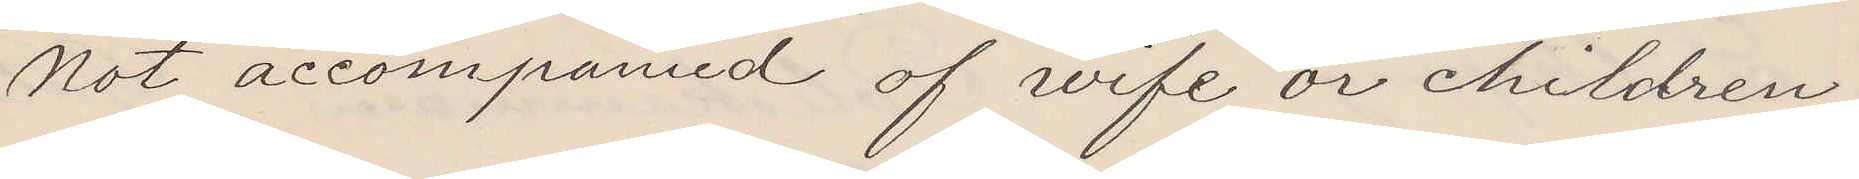not accompanied of wife or children.
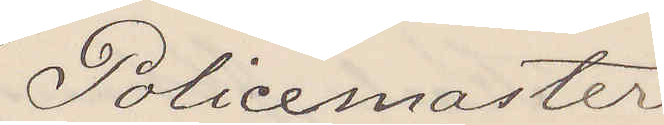Policemaster
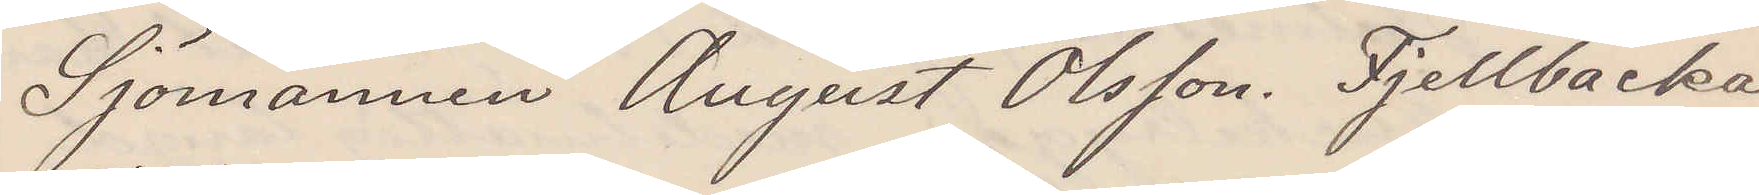Sjömannen August Olsson. Fjellbacka
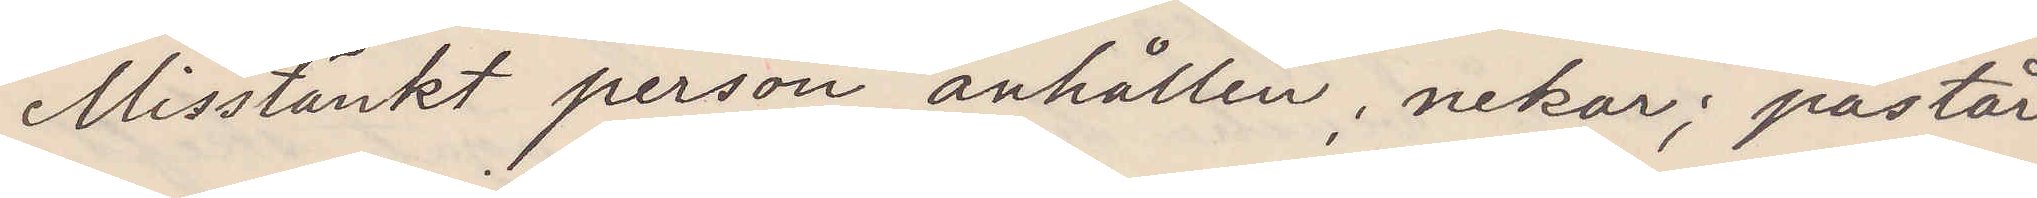Misstänkt person anhållen; nekar; påstår
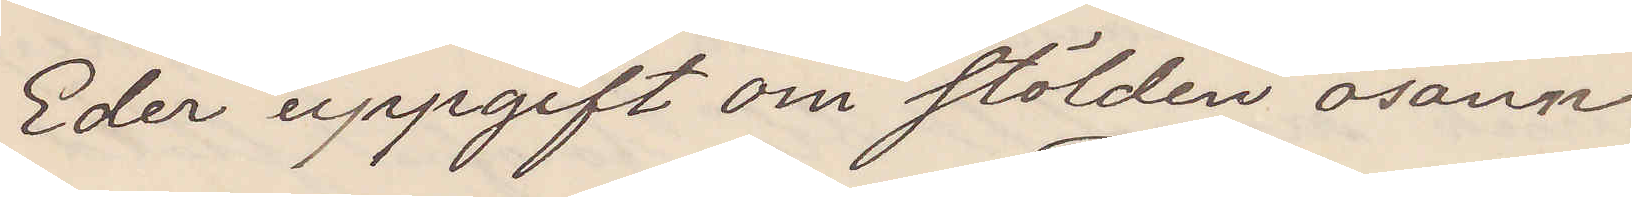Eder uppgift om stölden osann
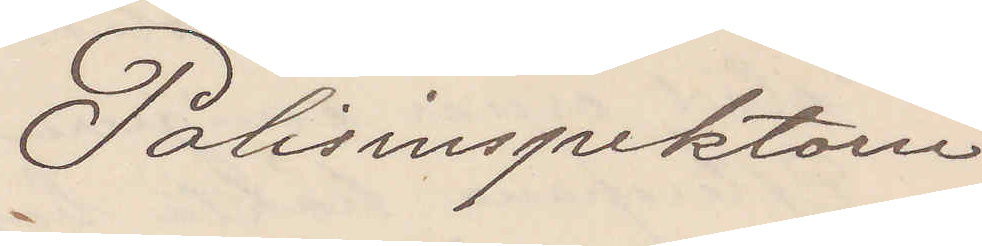Polisinspektorn
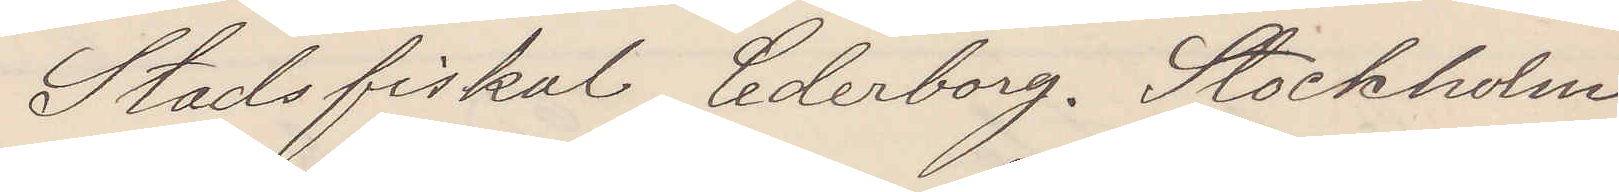Stadsfiskal Cederborg. Stockholm
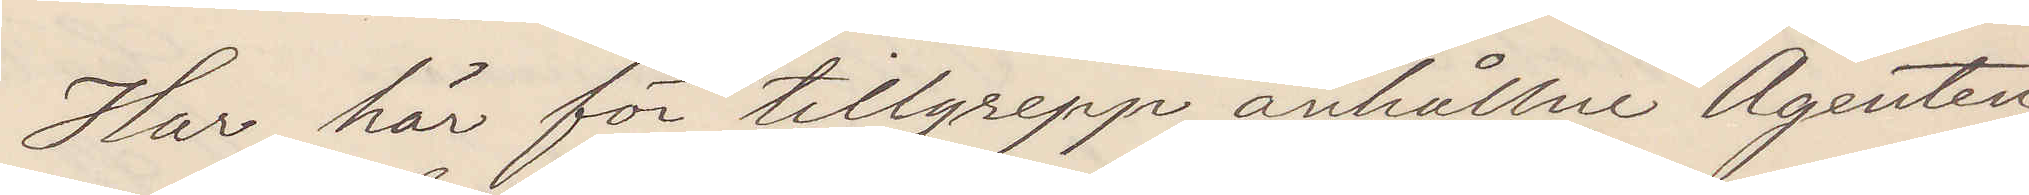Har här för tillgrepp anhållne Agenten
